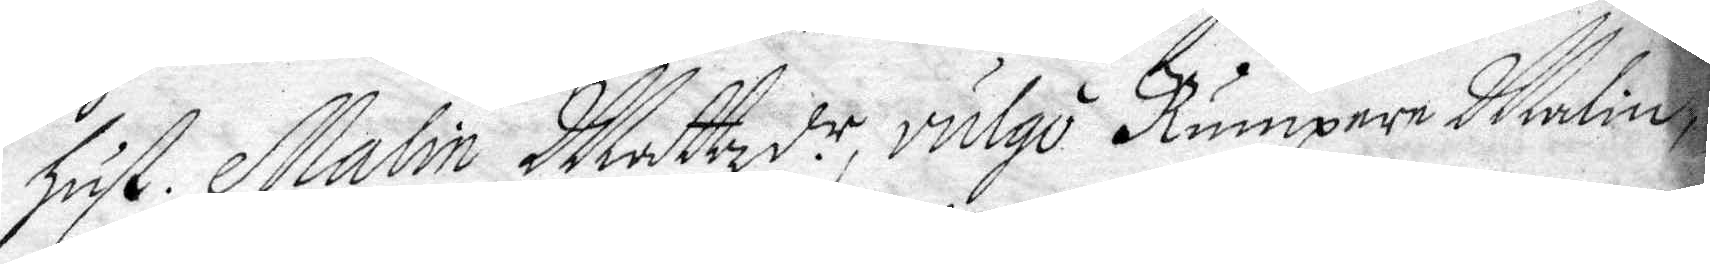hust. Malin Mattzdr, vulgo Rumpare Malin.
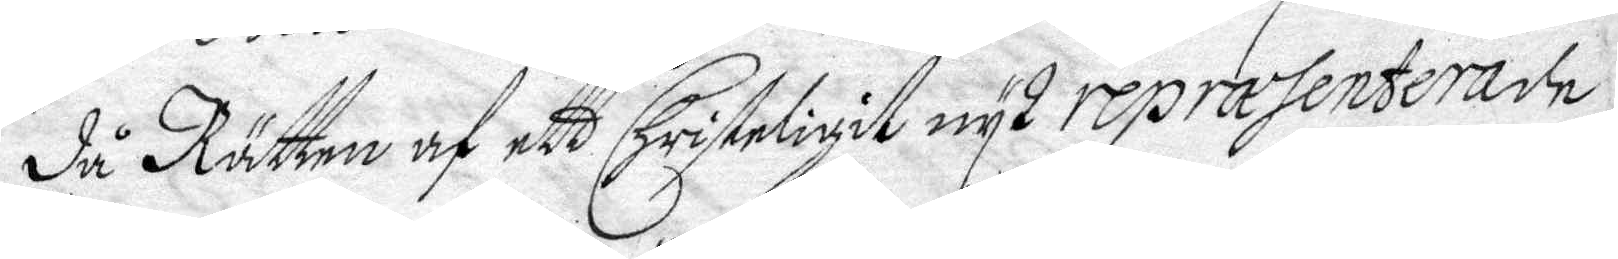då Rätten af ett Christigit wys repræsenterade
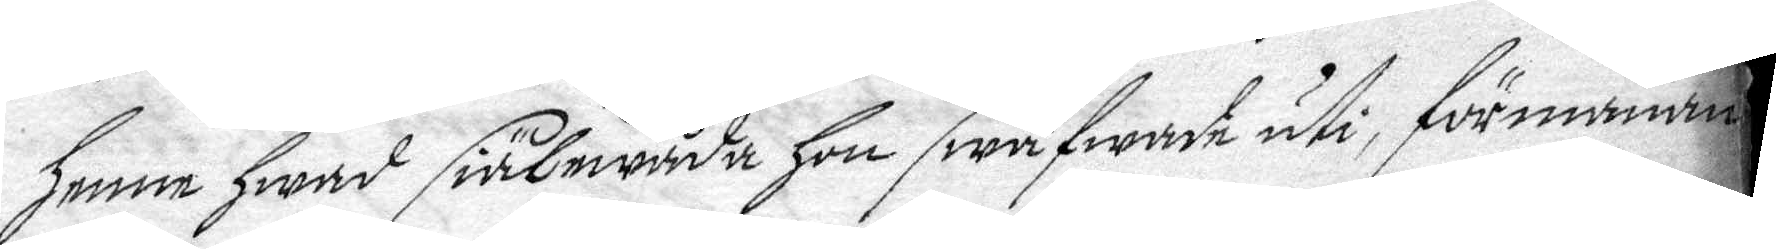henne hwad siälewåda hon swäfwade uti, förmanan¬
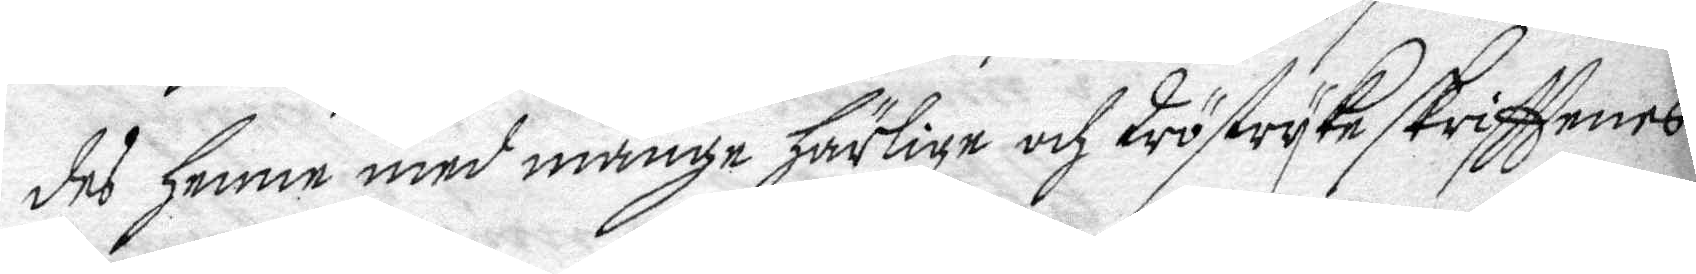des henne med många härlige och tröstryka skrifttens
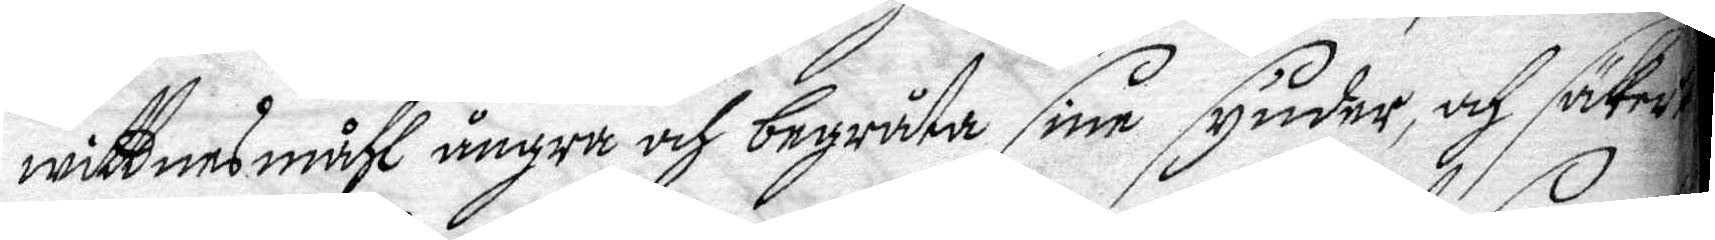wittnesmåhl ånhra och begråta sine synder, och säker
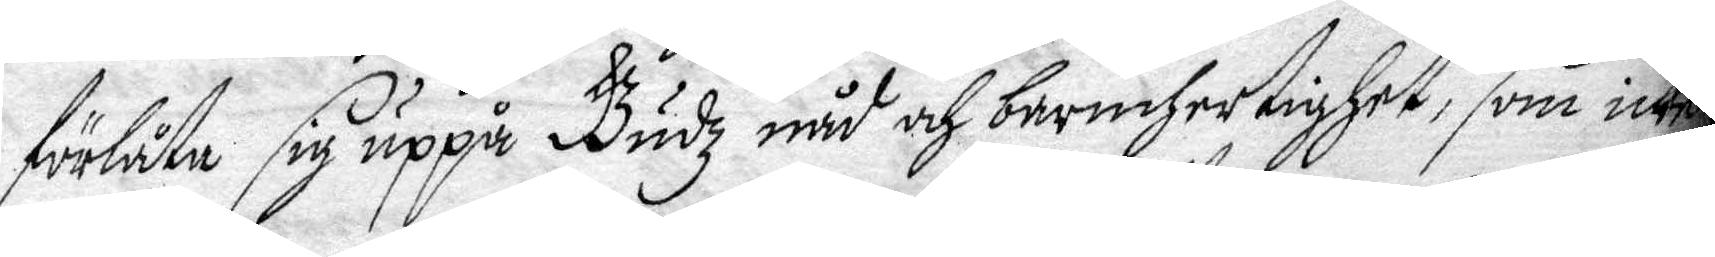förlåta sig uppå Gudz nåd och barmhertighet, som inte
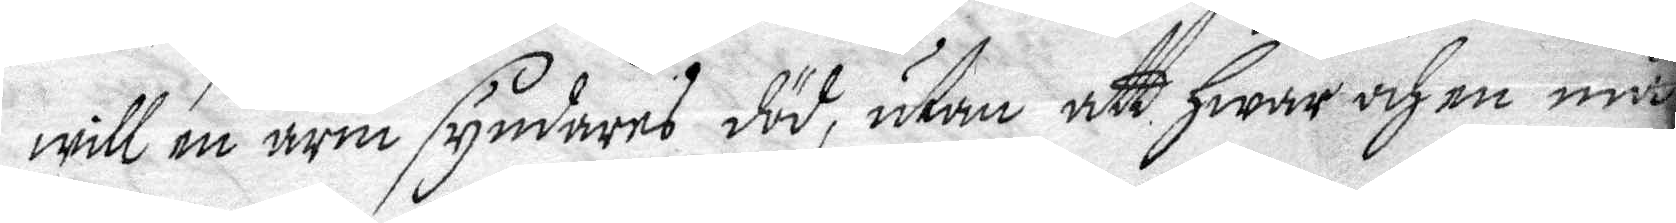will en arm syndares död, utan att hwar och en må
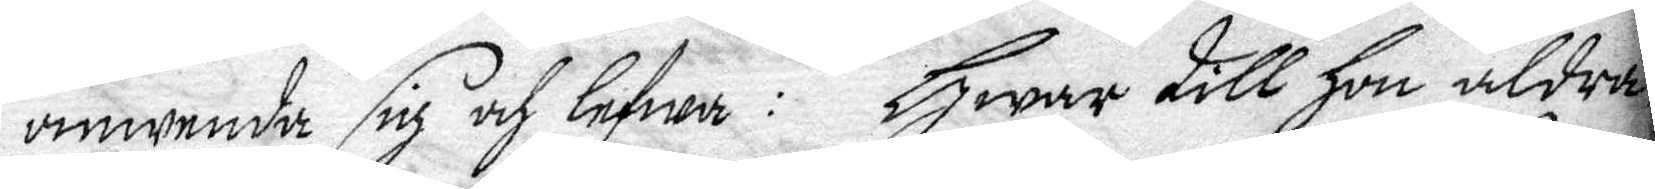omvenda sig och lefwa: Hwar till hon aldra
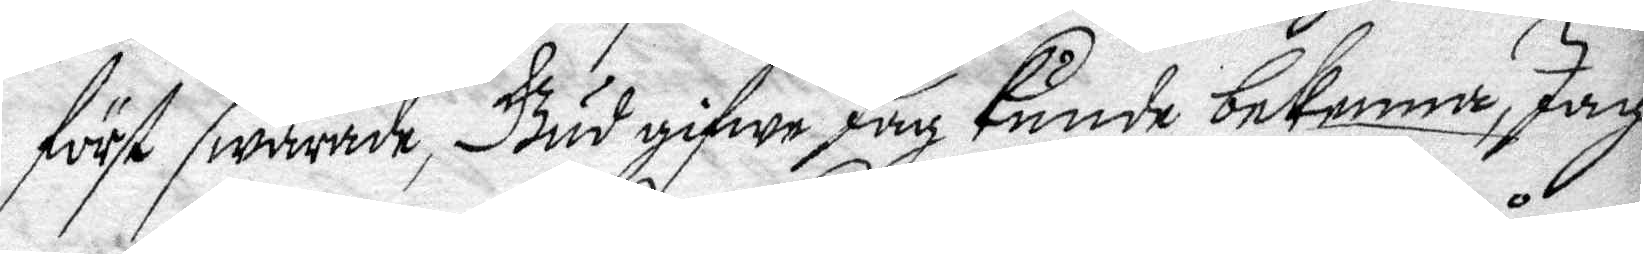först swarade, Gud gifwe Jag kunde bekenna, Jag
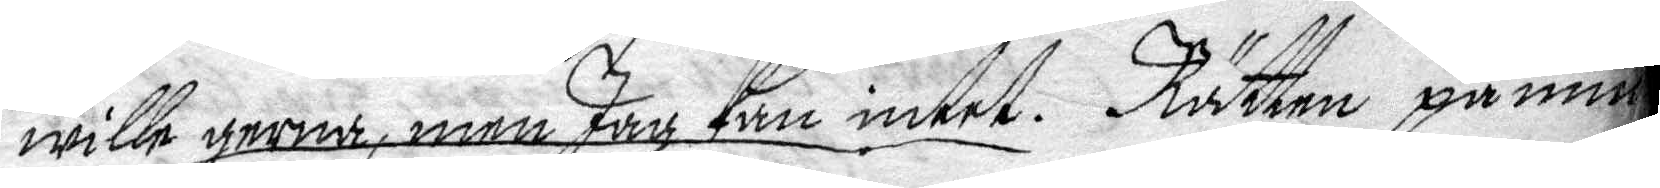wille gerna, men Jag kan intet. Rätten påmin¬
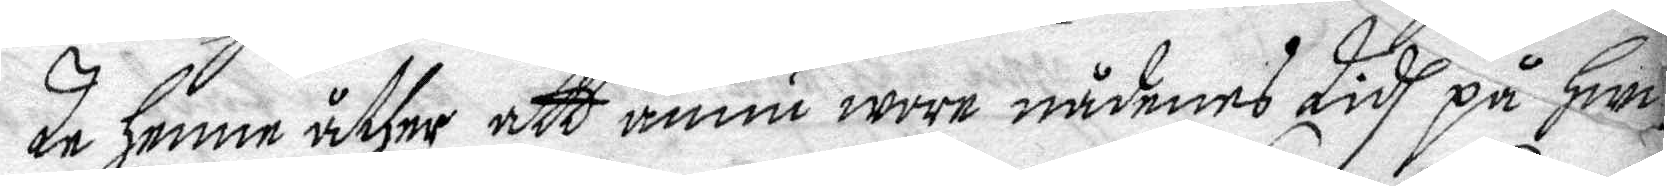de henne åther att ännu wore nådens tidh på hwil¬
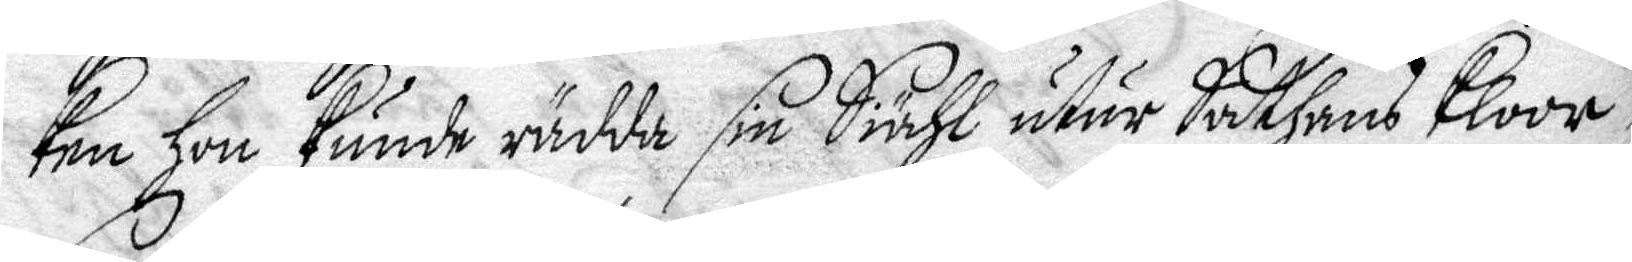ken hon kunde rädda sin Siähl utur Sathans Kloor
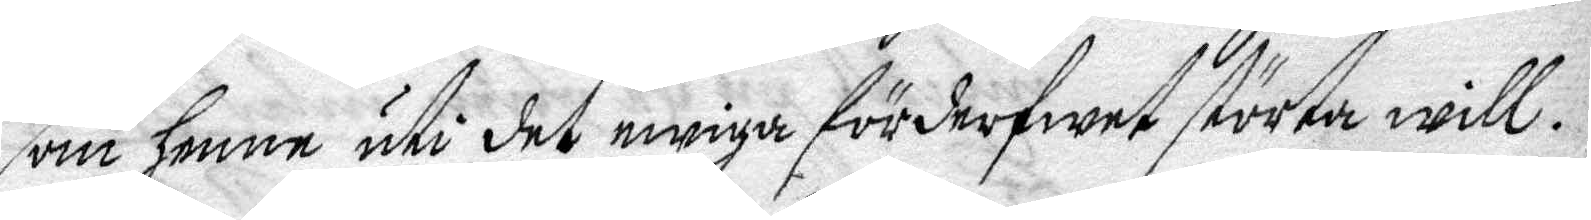som henne uti det ewiga förderfwet störta will.
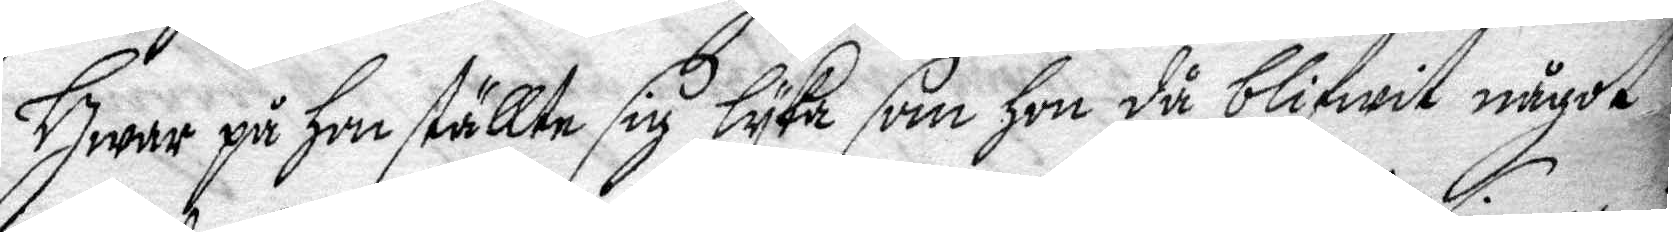Hwar på hon ställte sig lyka som hon då blifwit något
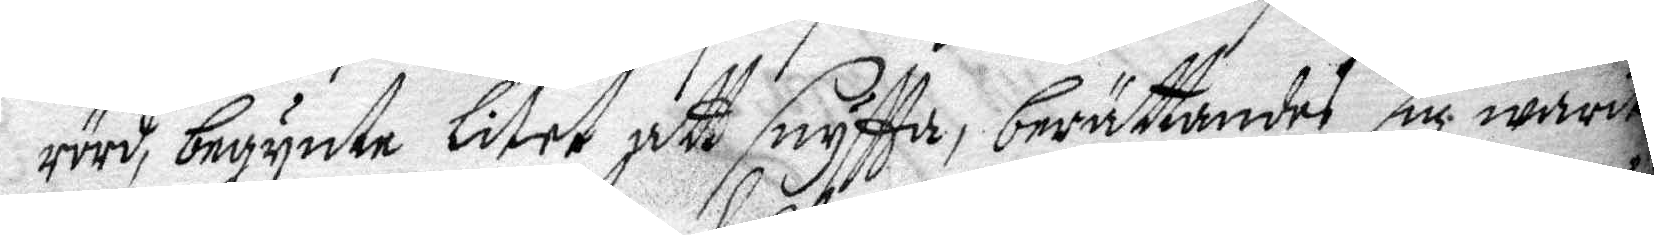rörd, begynte litet att snyfta, berättandes sig warit
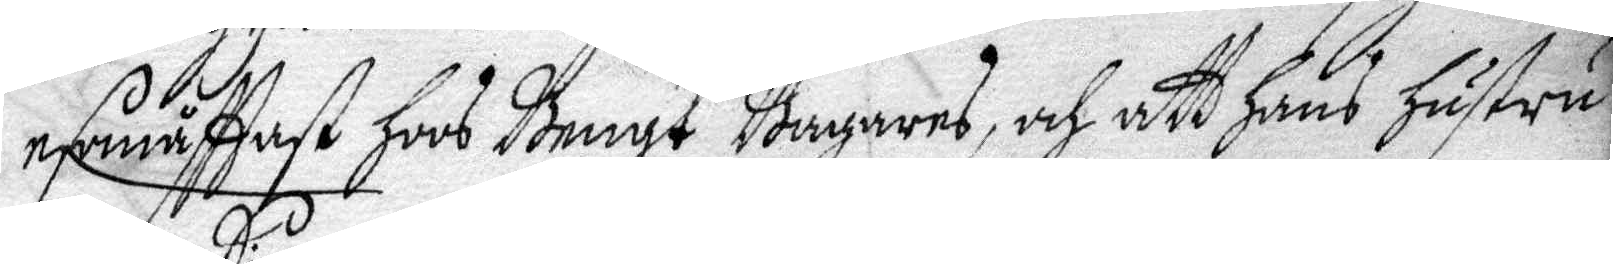esomåfttast hoos Bengt Bagares, och att hans hustru
